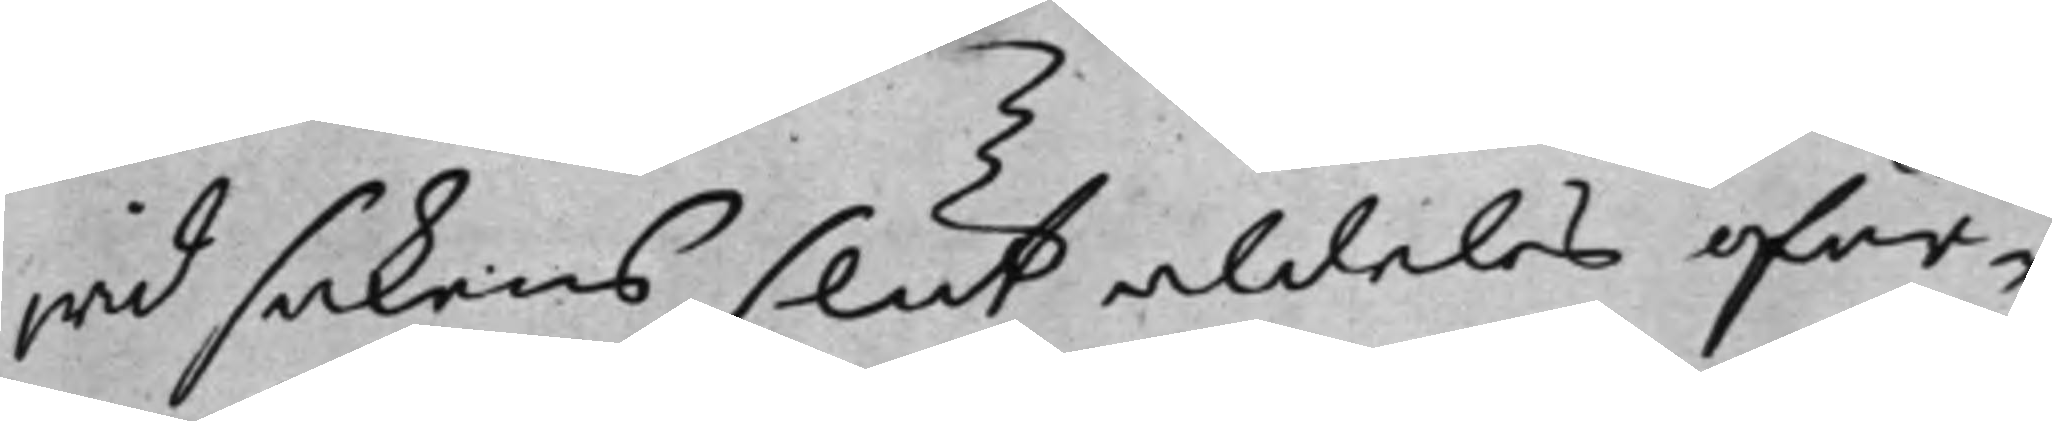wid sakens slut aldeles oför¬
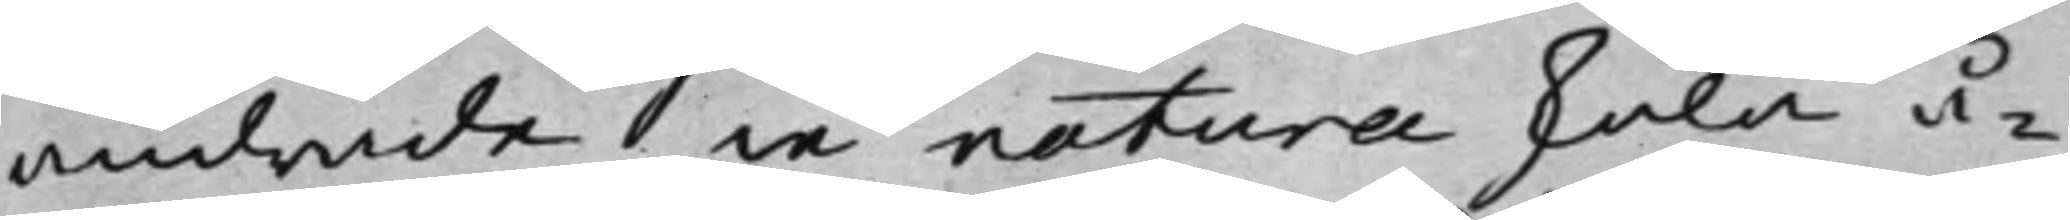andrade in natura skola å¬
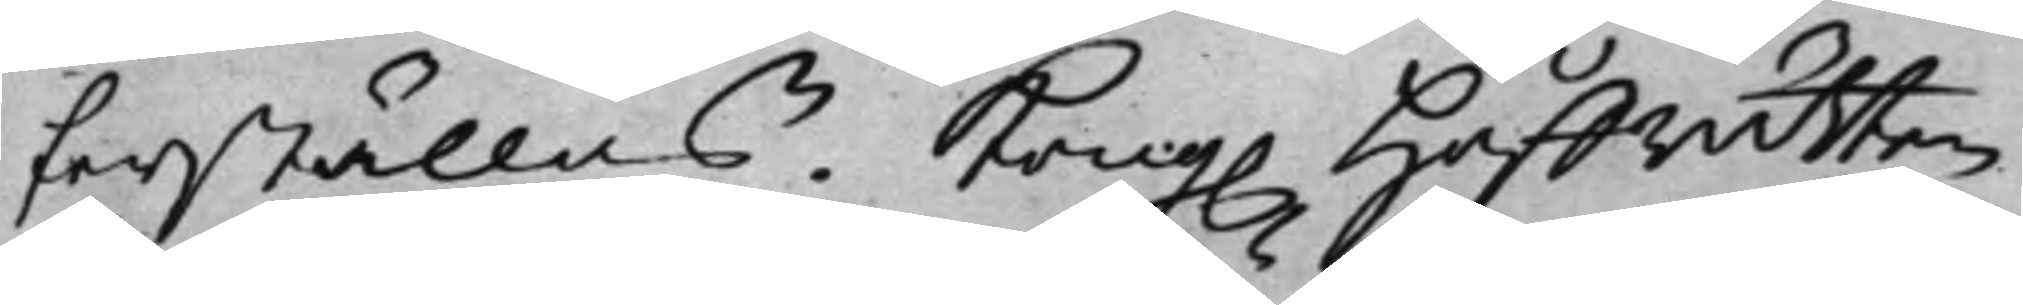terställas. Kong. Håffrätten
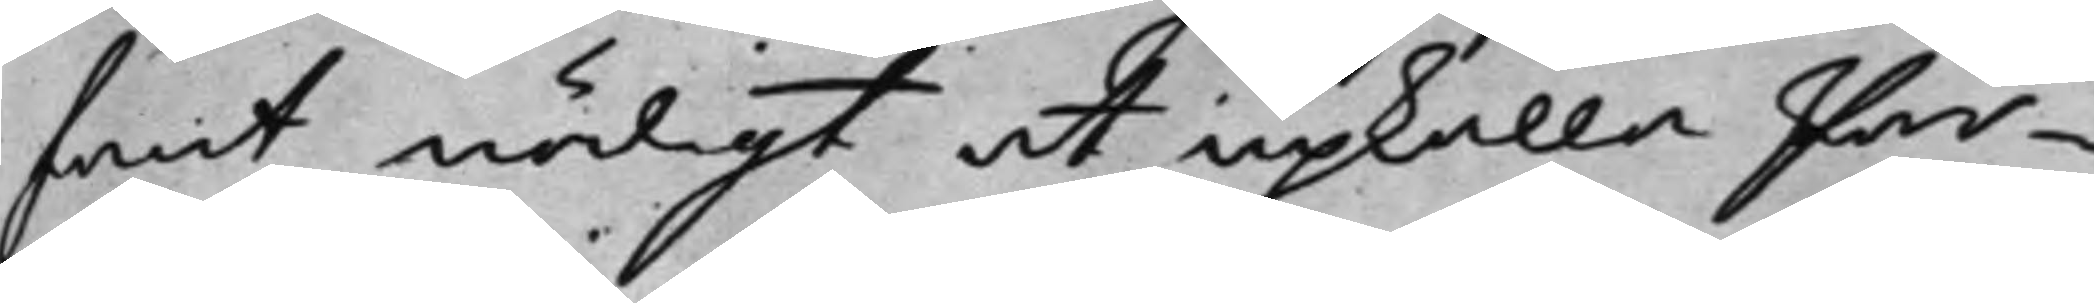fant nödigt at upkalla Par¬
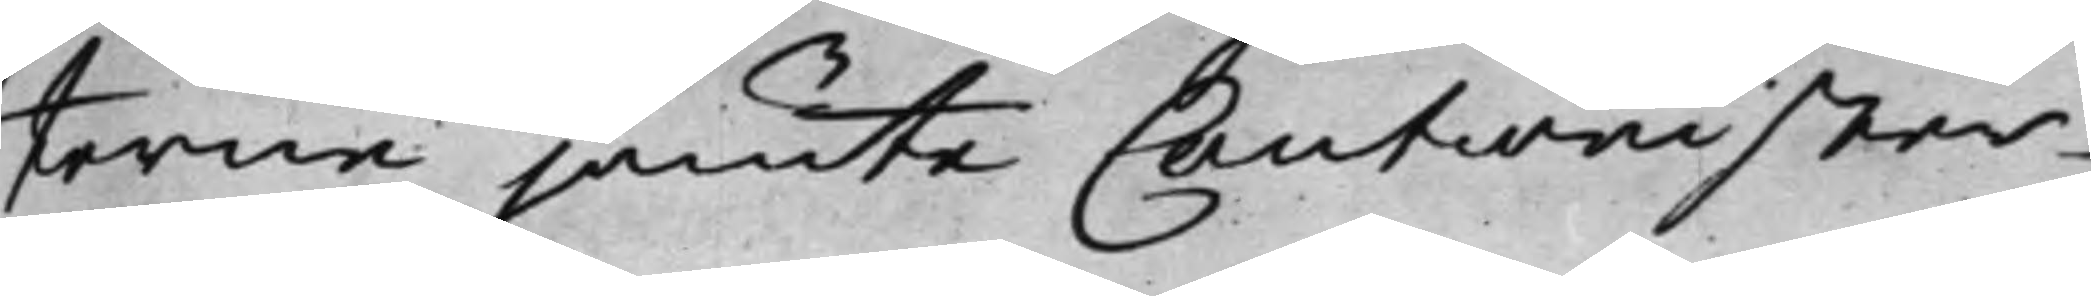terne jämte Cautionister¬
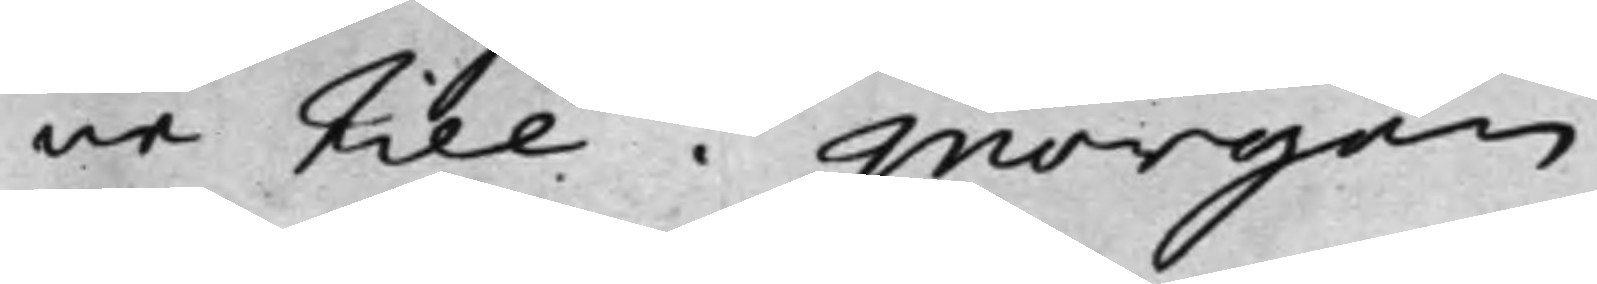ne till i Morgon.
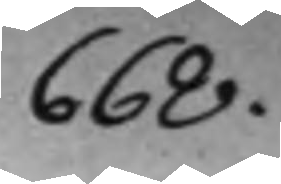668.
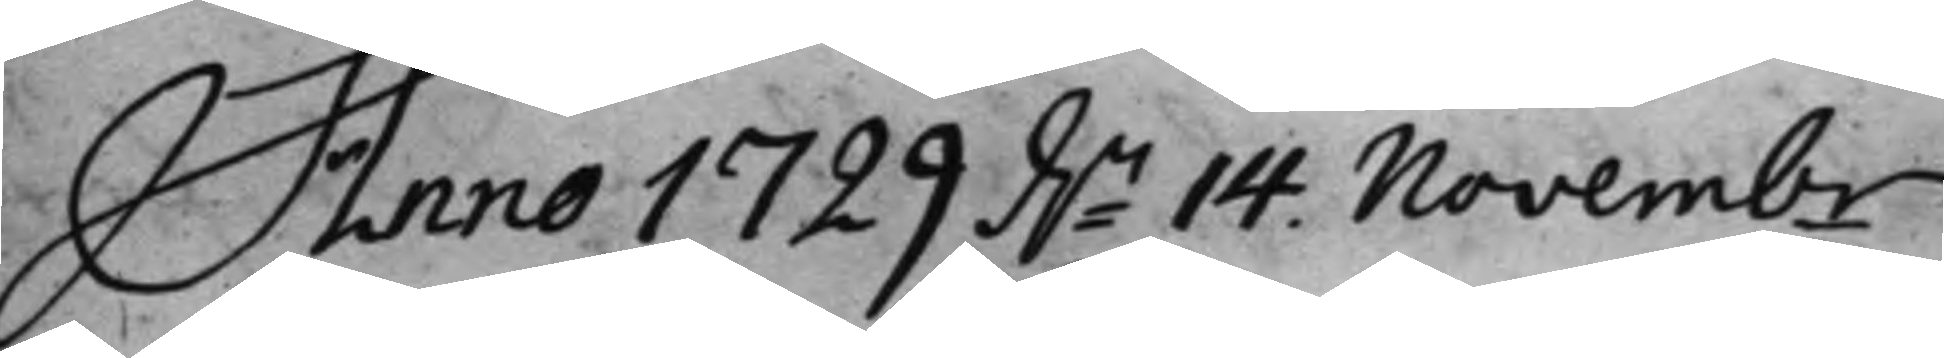Anno 1729 d.n 14. Novemb.
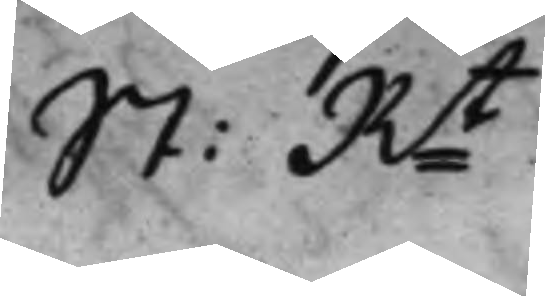St: Rt
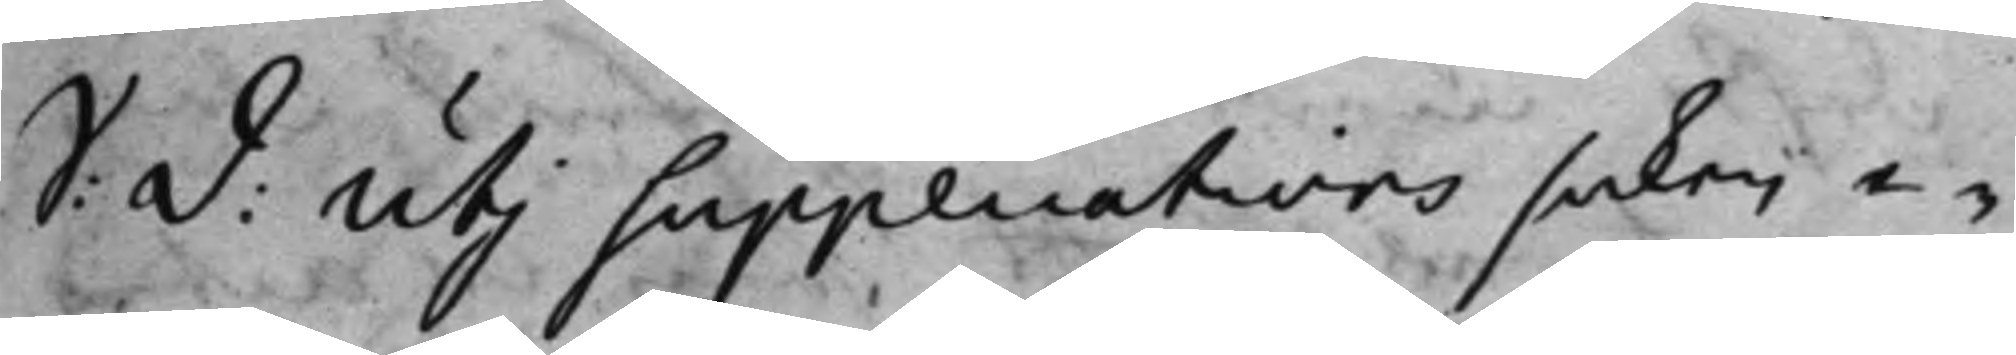S: D: Uti Supplications saken e¬
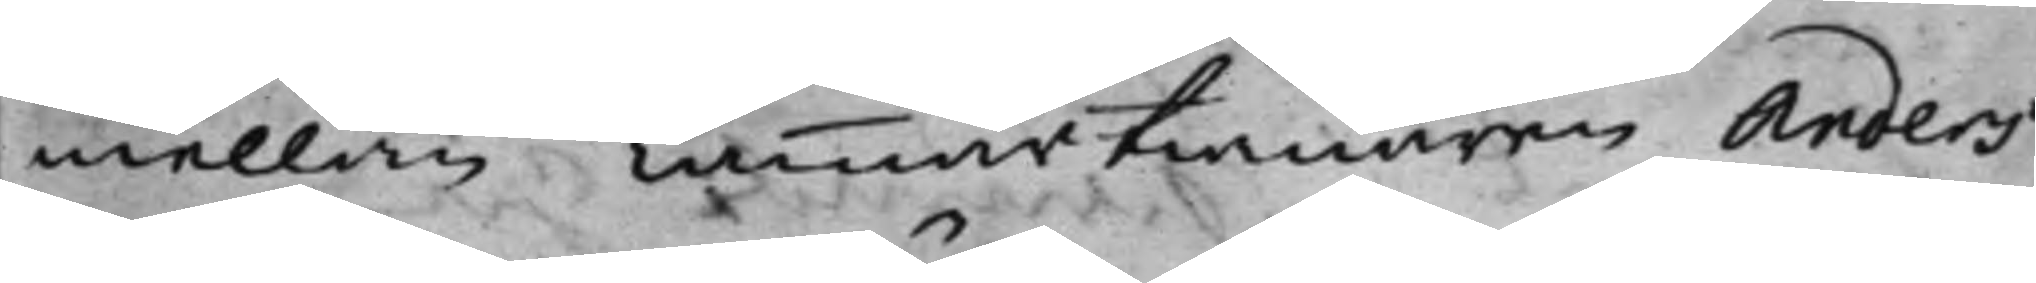mellan Cammartienaren Anders
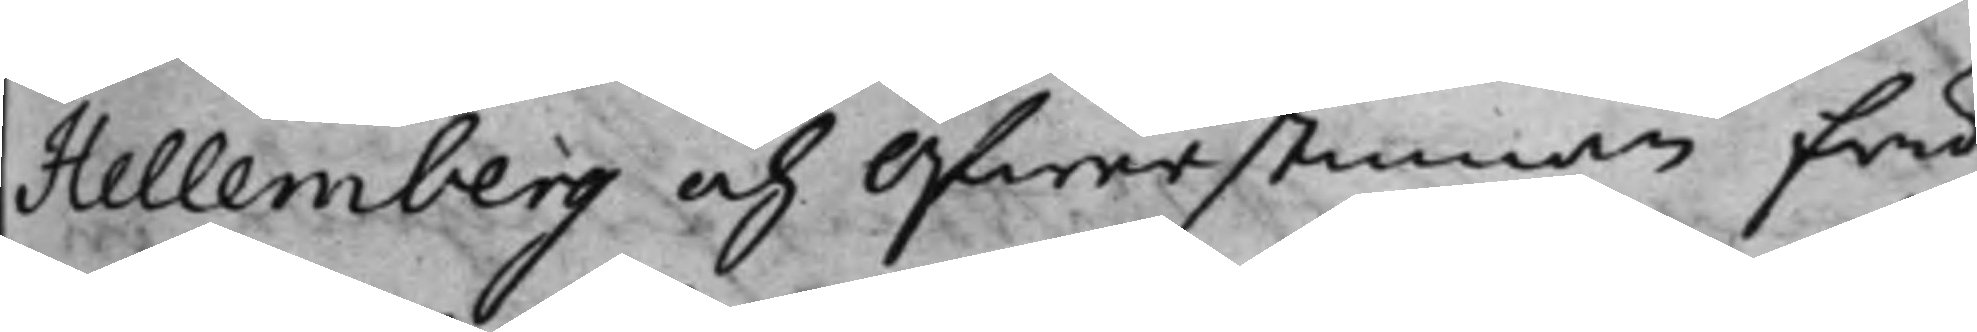Hellemberg och Öfwerstinnan Fru
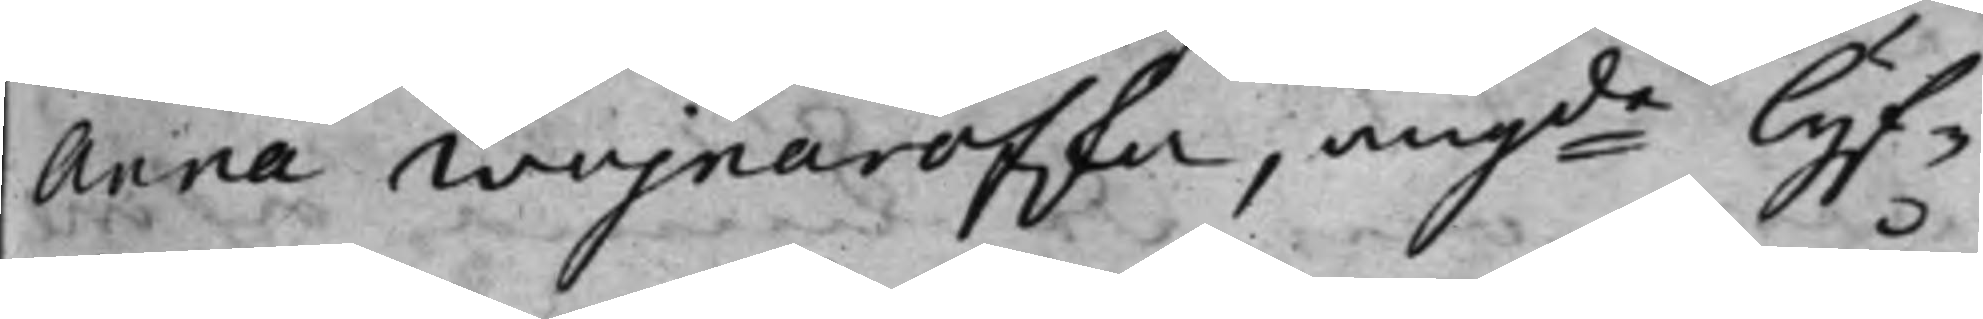Anna Wojnarofska, angde lyf¬
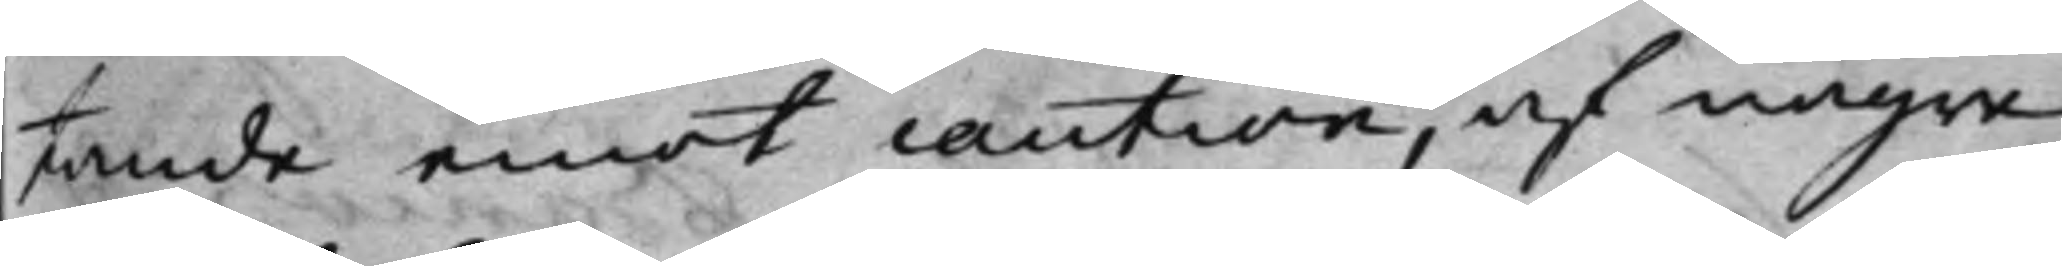tande emot caution, af några
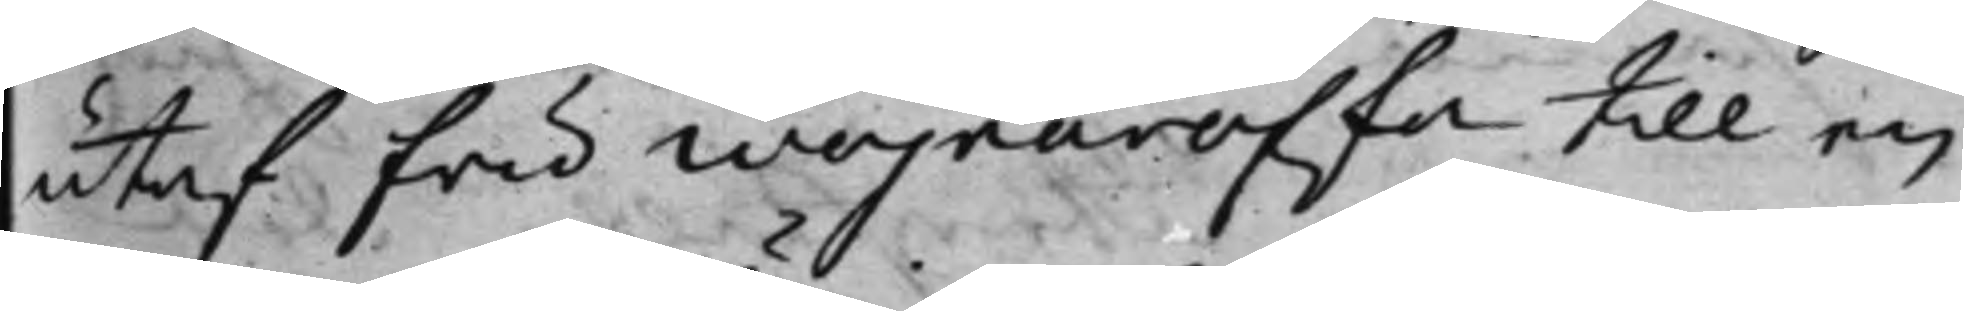utaf Fru Wojnarofska till en
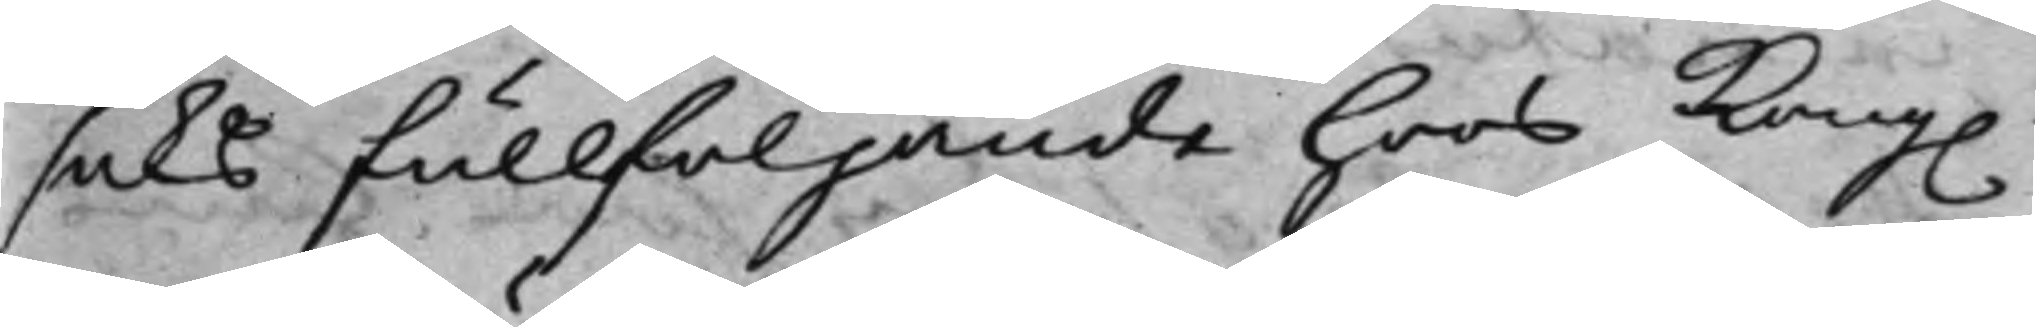saks fullföljande hoos Kong.
